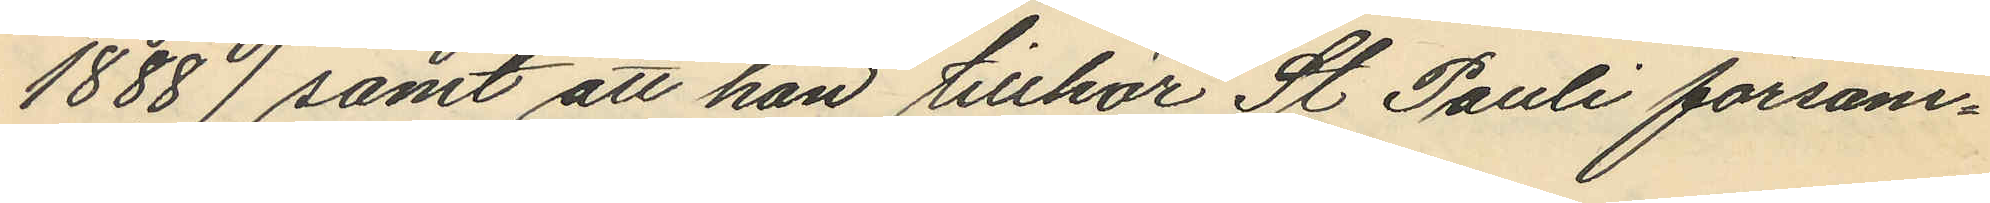1888) samt att han tillhör St Pauli försam¬
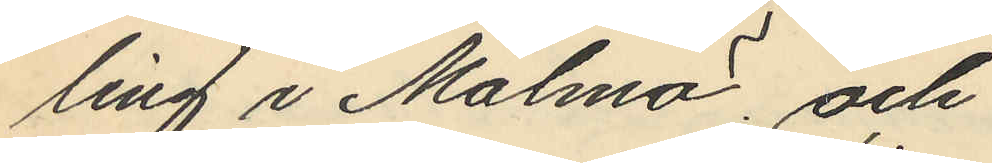ling i Malmö; och
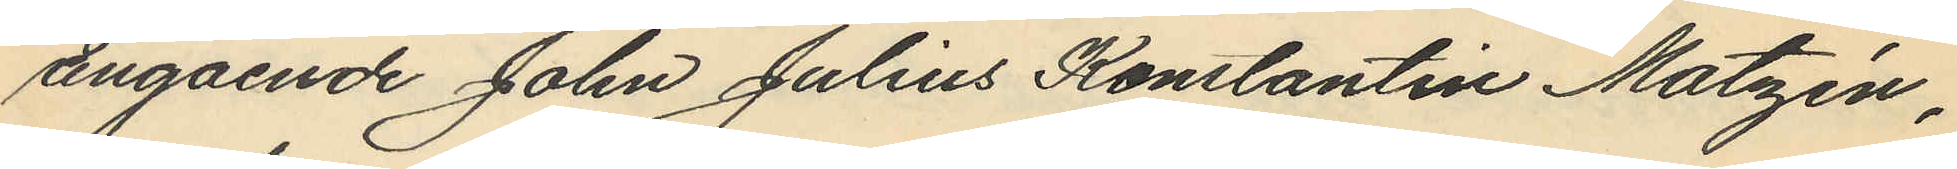angående John Julius Konstantin Matzén,
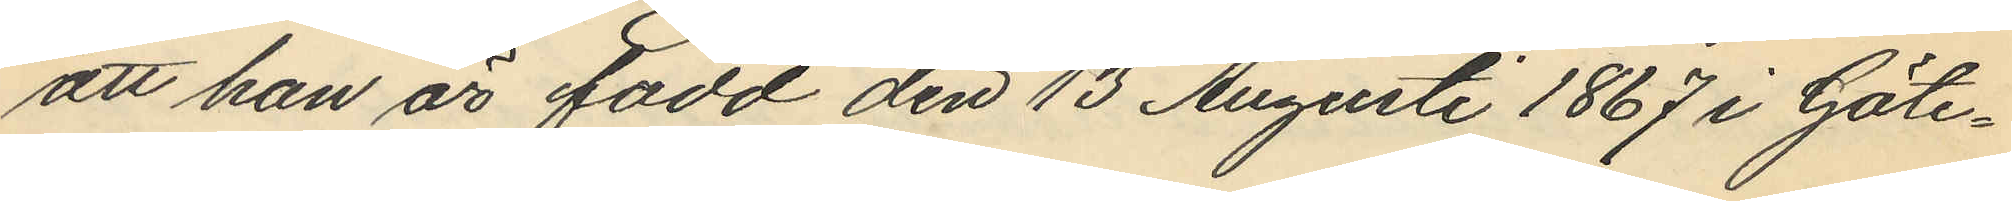att han är född den 13 Augusti 1867 i Göte¬
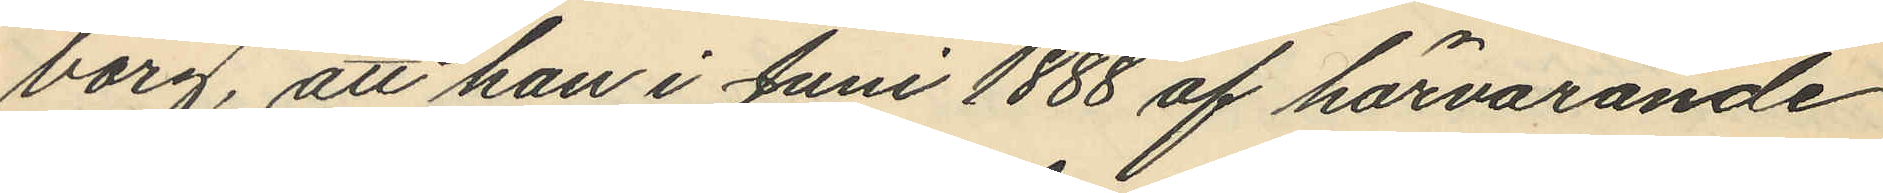borg, att han i Juni 1888 af härvarande
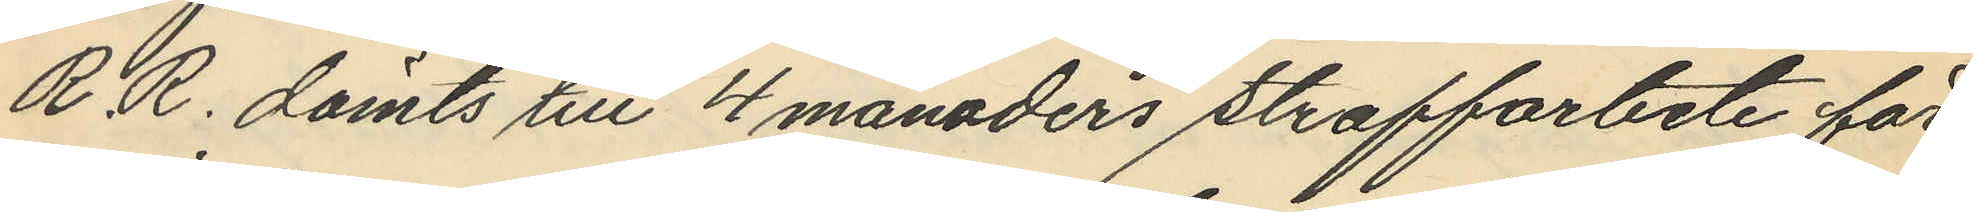R.R. dömts till 4 månaders straffarbete för
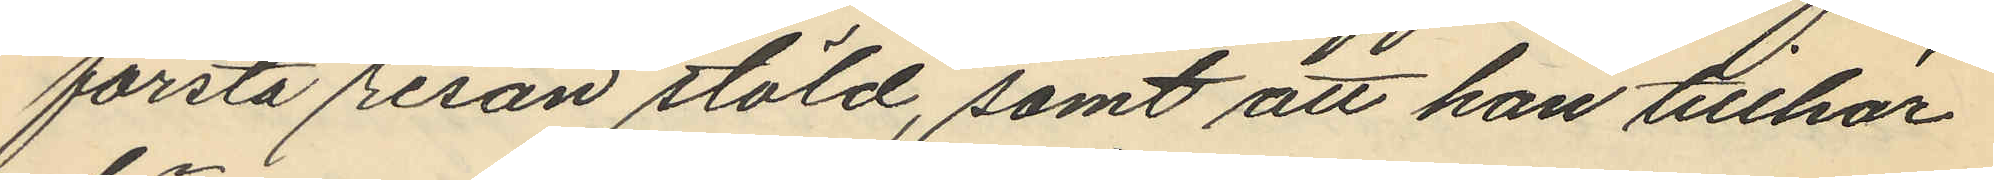första resan stöld, samt att han tillhör
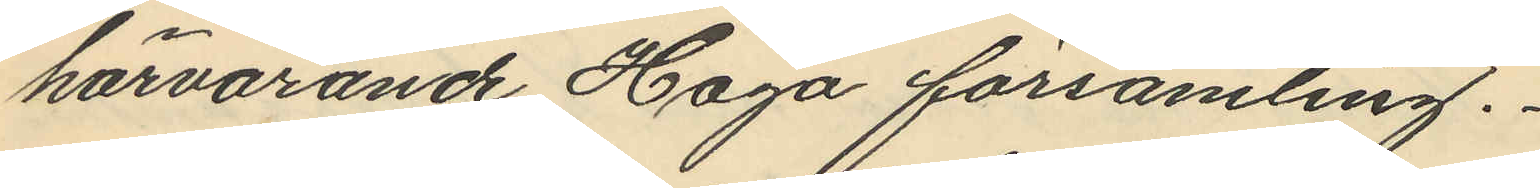härvarande Haga församling.
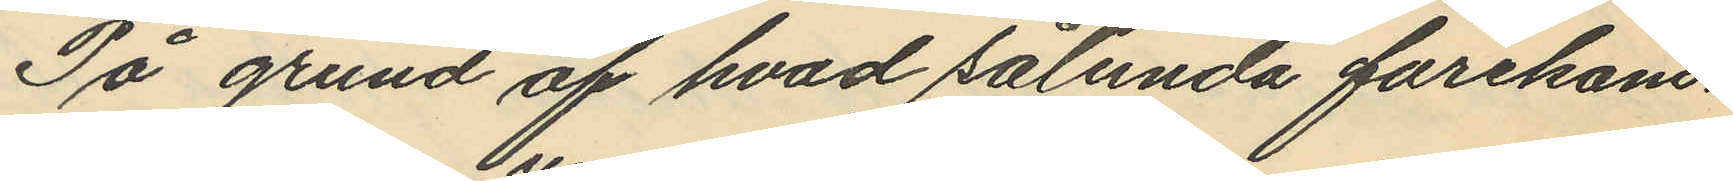På grund af hvad sålunda förekom¬
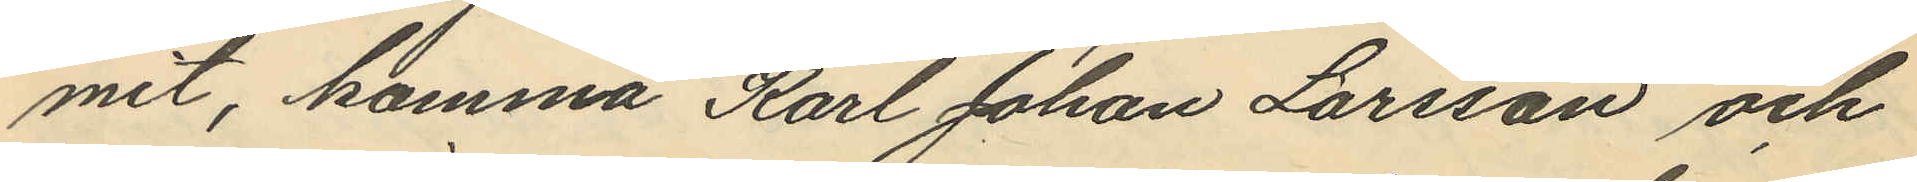mit, komma Karl Johan Larsson och
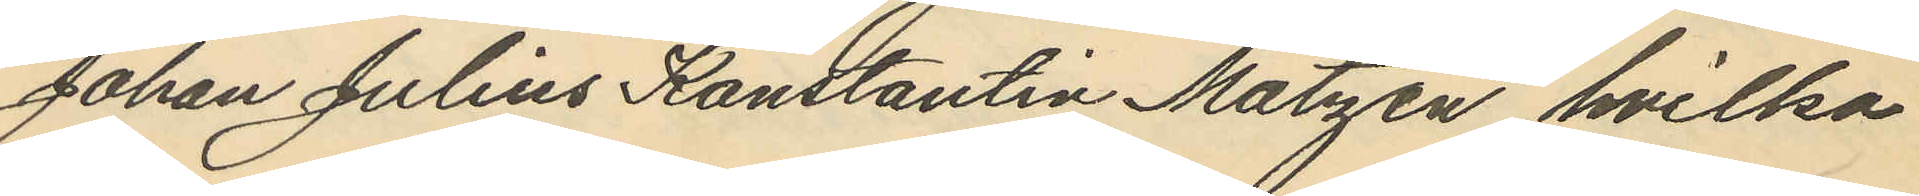Johan Julius Konstantin Matzén, hvilka
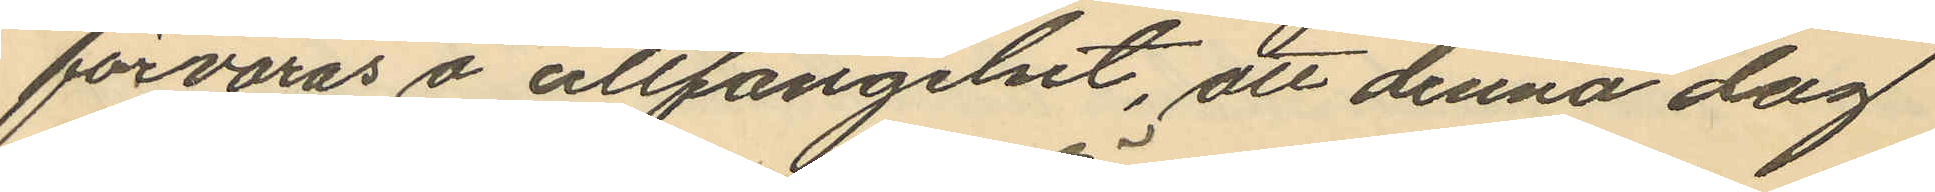förvaras å cellfängelset, att denna dag
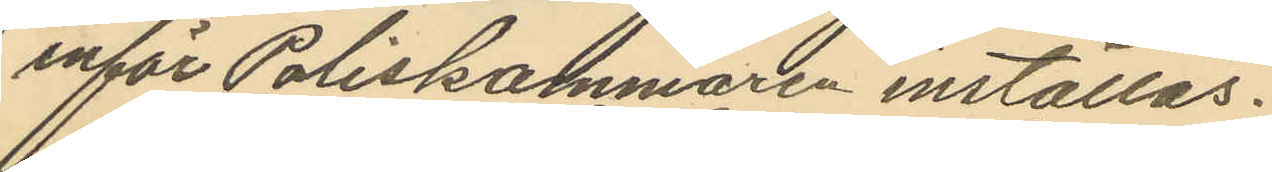inför Poliskamaren inställas.
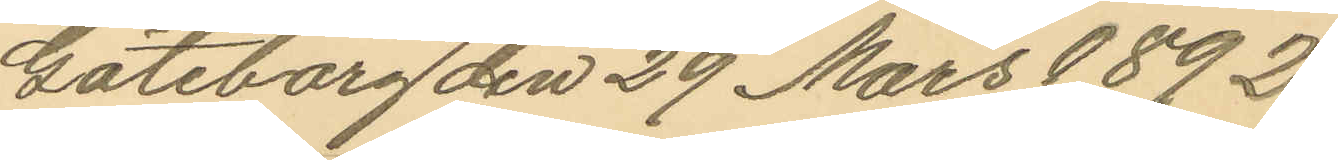Göteborg den 29 Mars 1892.
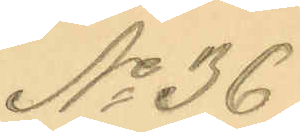No 36
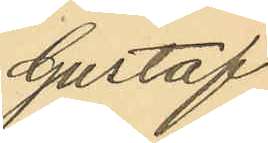Gustaf
